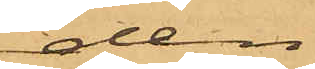den
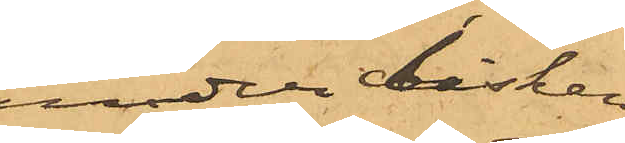under disken
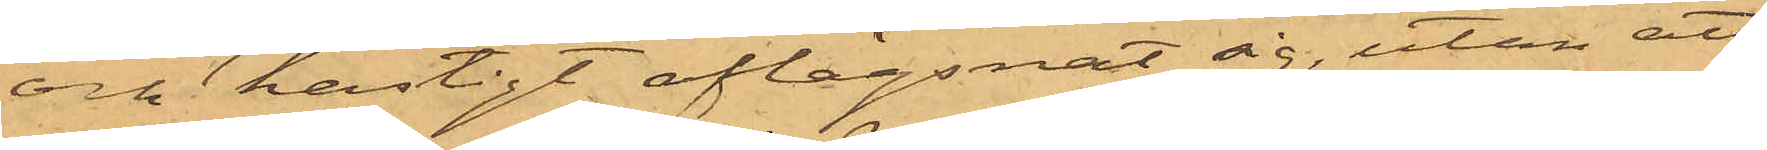och hastigt aflägsnat sig, utan att
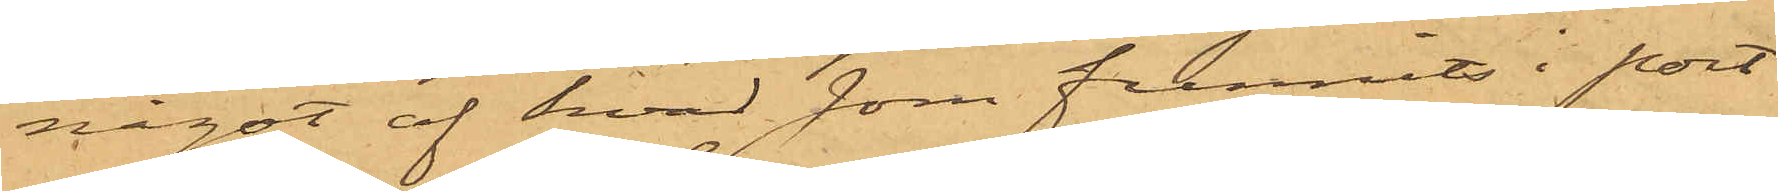något af hvad som funnits i port¬
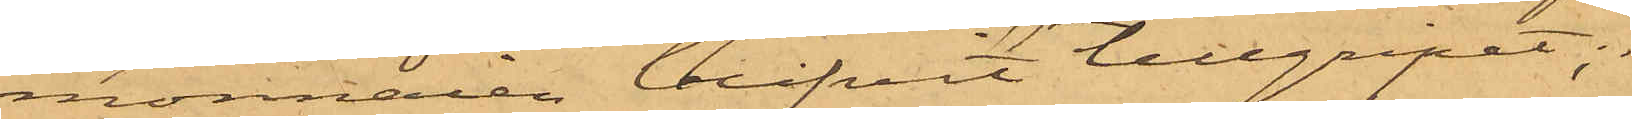monnaien blifvit tillgripet;
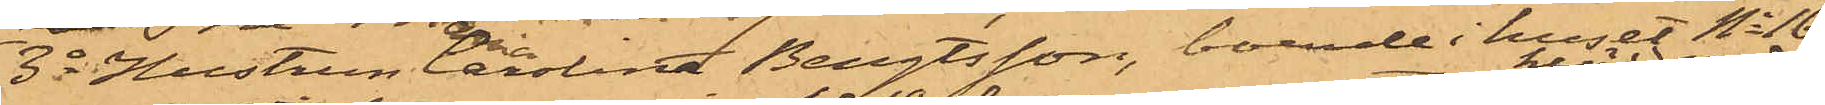3o Hustrun Carolina Bengtsson, boende i huset No 16
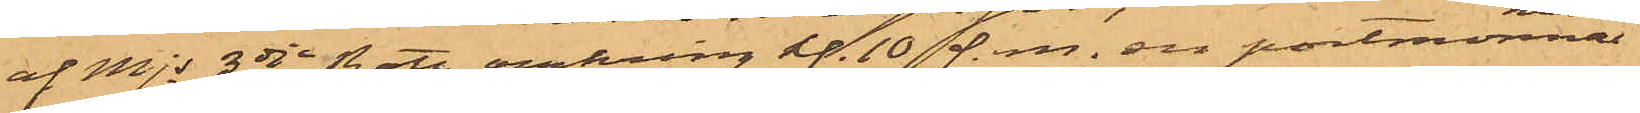af Mjs 3dje Rote omkring kl. 10 f. m. en portmonnai
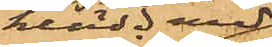klädd med
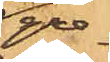gre¬
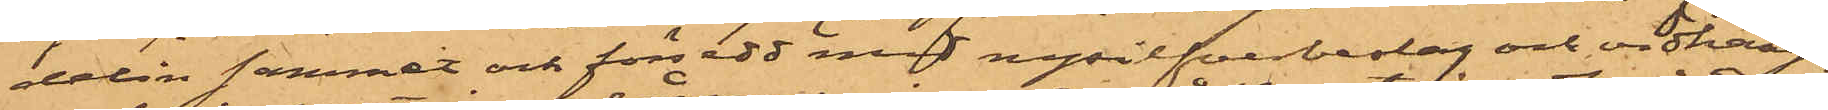delin sammet och försedd med nysilfverbeslag och vidhän¬
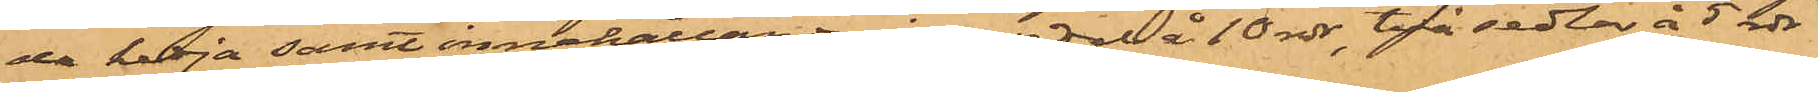de kedja samt innehållande en sedel å 10 rdr, två sedlar å 5 rdr
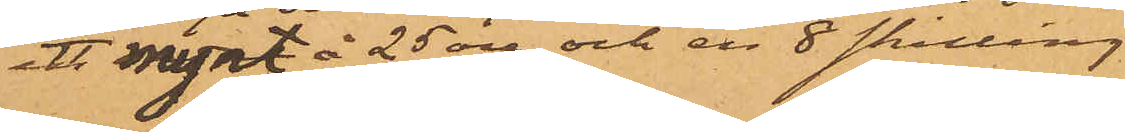ett mynt å 25 öre och en 8 skilling
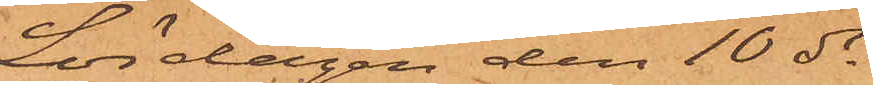Lördagen den 10 ds
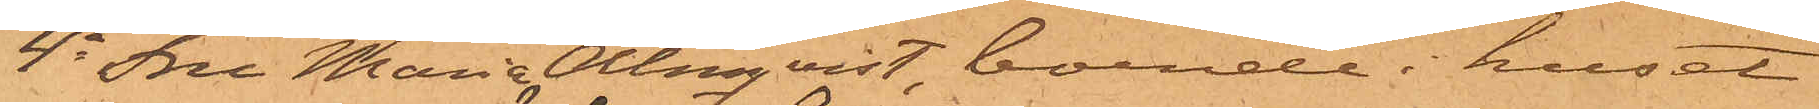4o Fru Maria Almqvist, boende i huset
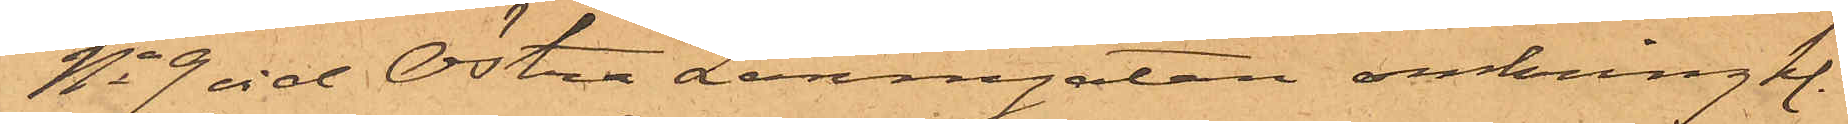No 9 vid Östra Larmgatan omkring kl.
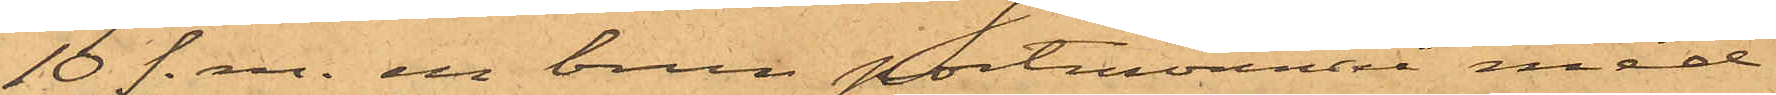10 f. m. en brun portmonnaie med
